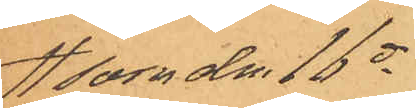som den 16 ds
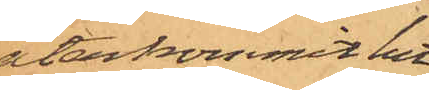återkommit hit
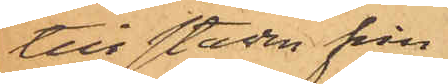till staden från
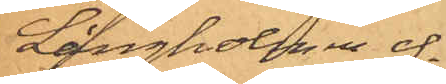Långholmen ef¬
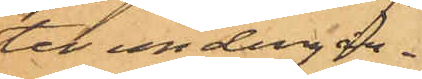ter undergån¬
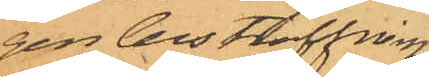gen bestraffning
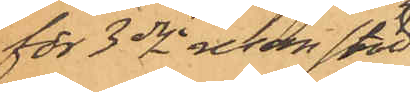för 3dje resan stöld
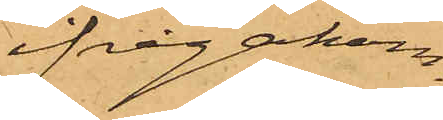ifrågakom¬
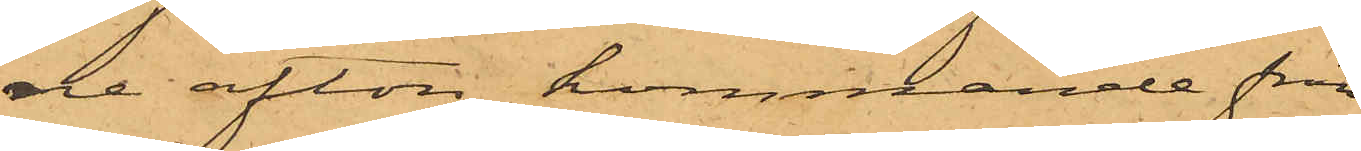de afton, kommande från
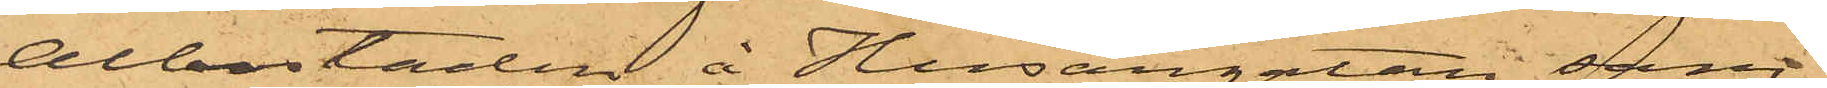Albostaden å Husargatan sam¬
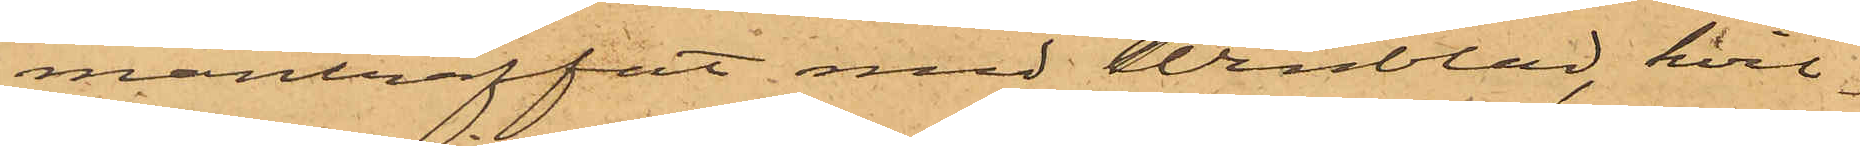manträffat med Winblad, hvil¬
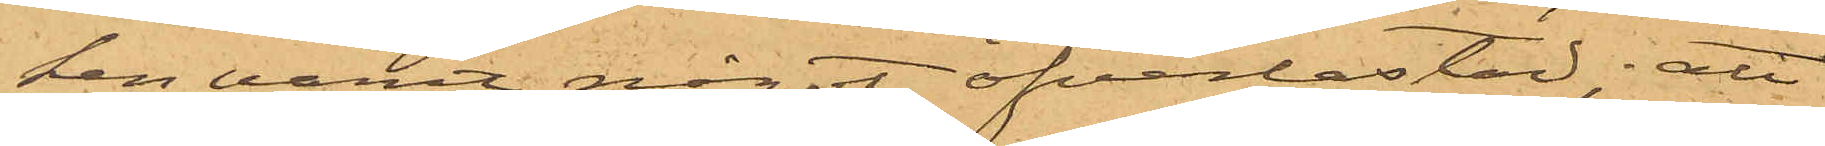ken varit något öfverlastad; att
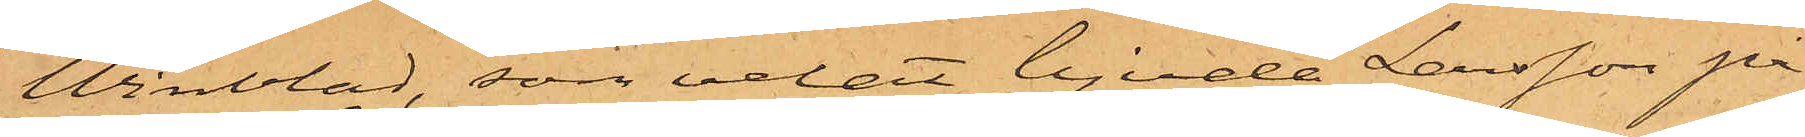Winblad, som velat bjuda Larsson på
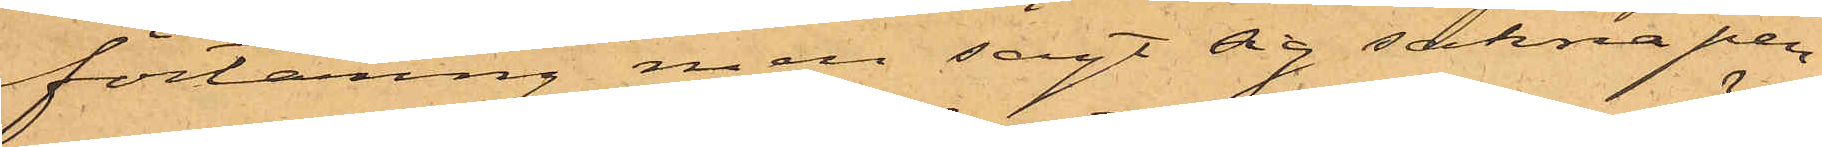förtäring, men sagt sig sakna pen¬
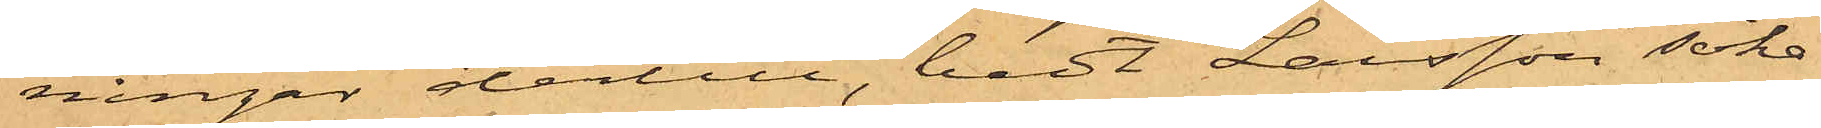ningar dertill, bedt Larsson söka
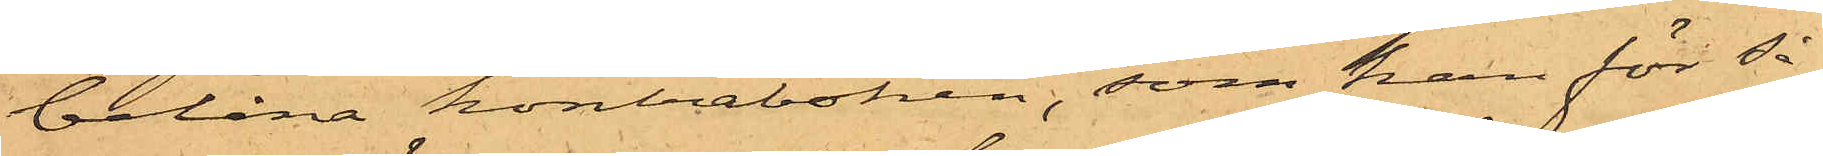belåna kontraboken, som han för så¬
